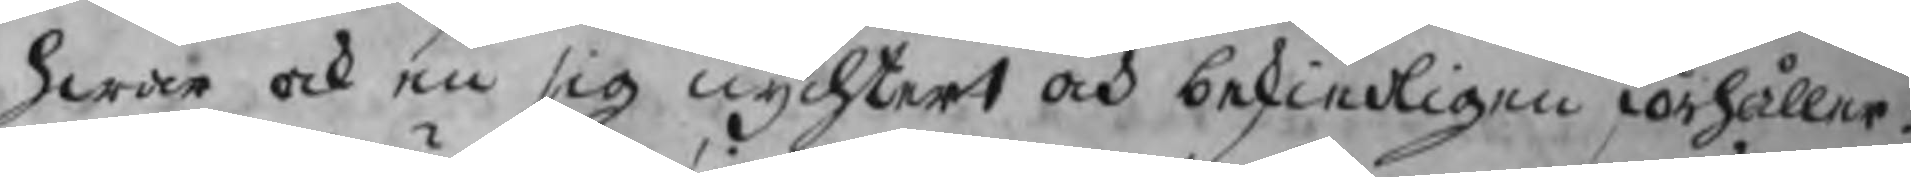hwar och en sig nychtert och beskiedligen förhåller.
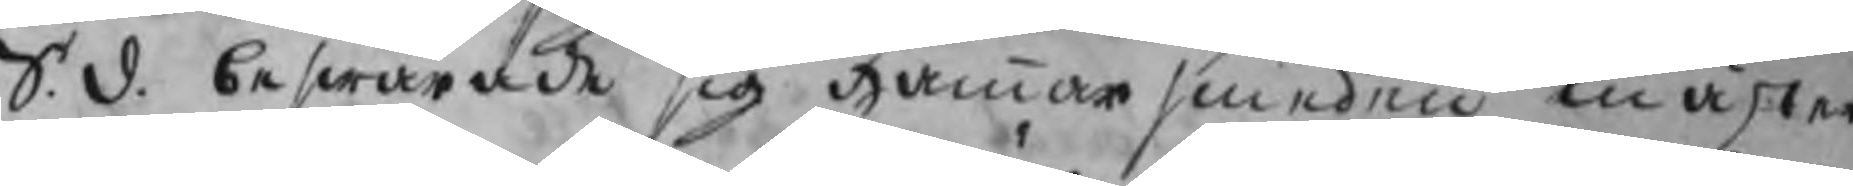S.d. beswärade sig Hammarsmeden mäster
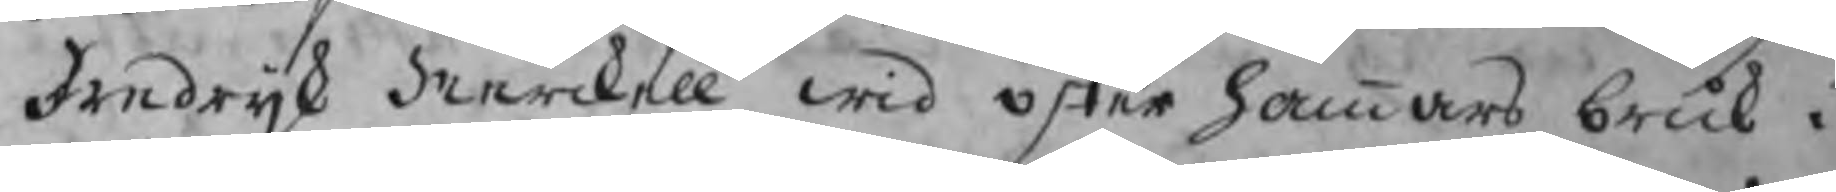Fredrijk Merckell wid Öster hammars bruk i
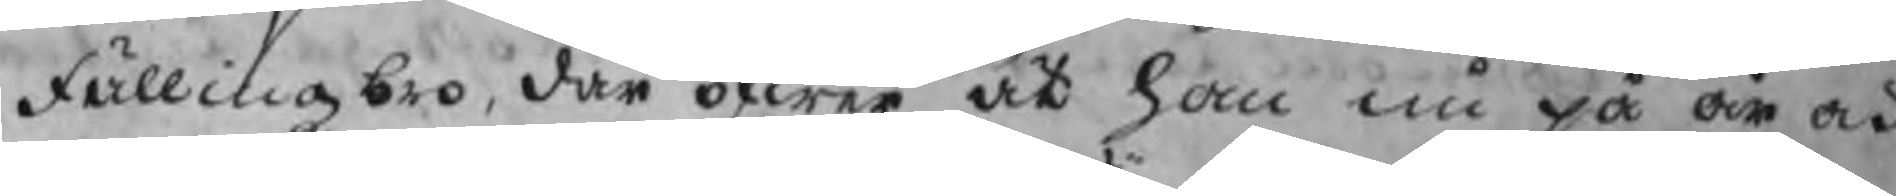Fällingsbro, där öfwer at han nu på år och
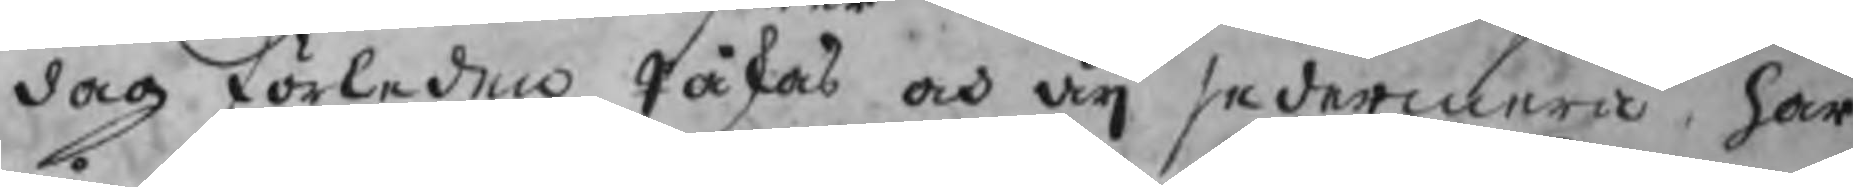dag förleden Påskas och äij sedermera har
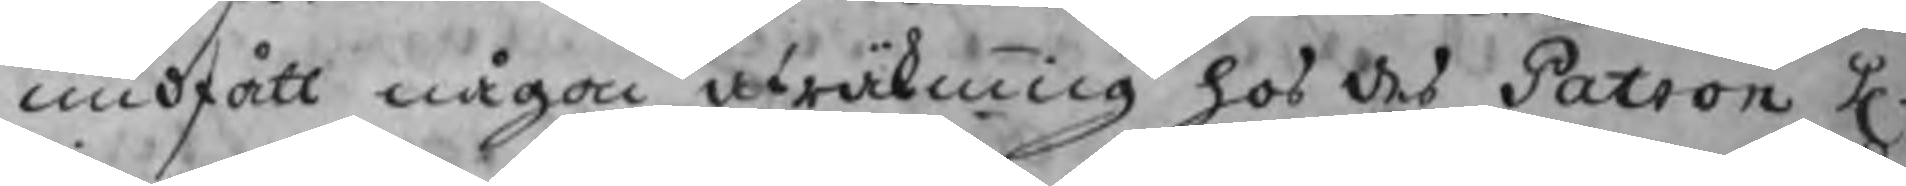undfått någon afräkning hos des Patron H.
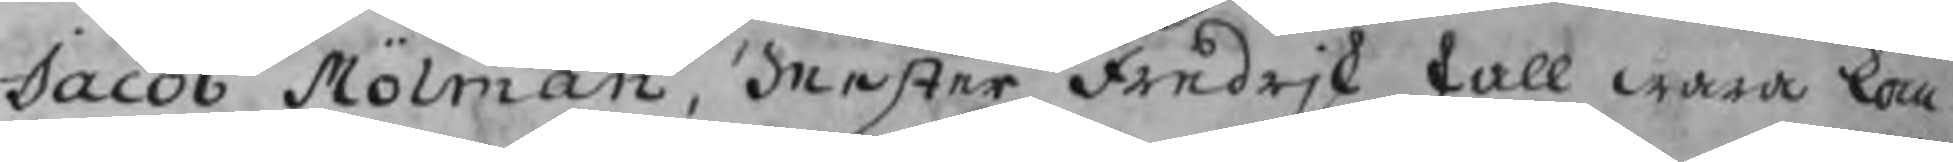Jacob Mölman, Mester Fredrjk skall wara kom:
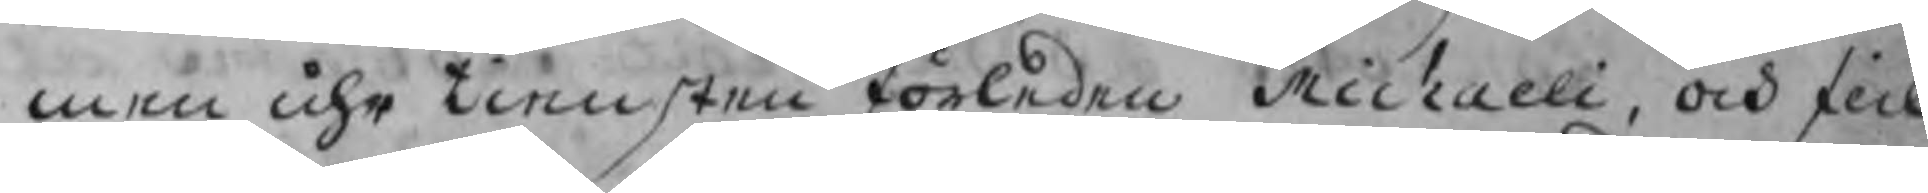men uhr tiensten förleden Michaeli, och fick
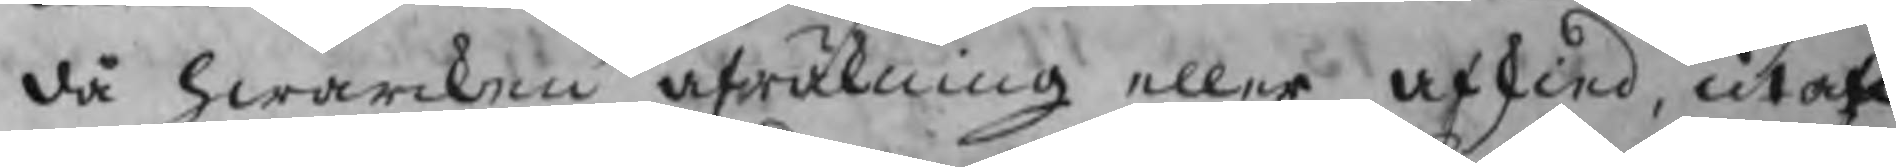då hwarcken afräkning eller afskied, utan
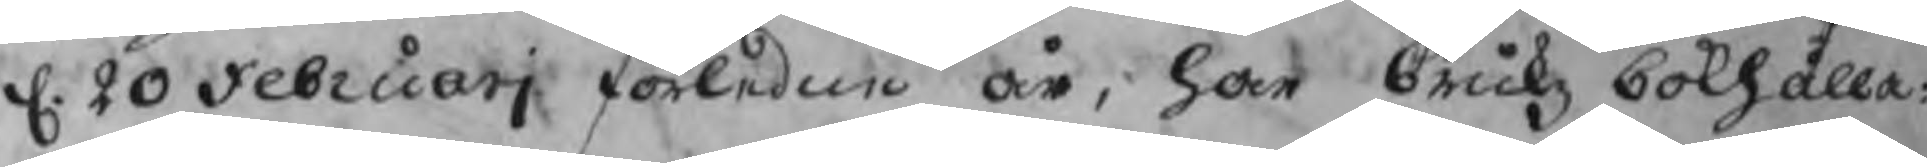d. 20 Februarj förledne år, har brukz bokhålla-
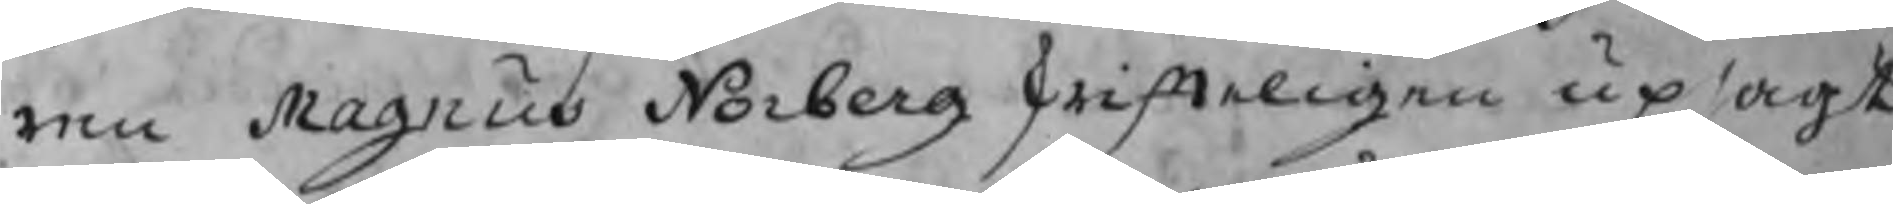ren Magnus Norberg skrifteligen upsagt
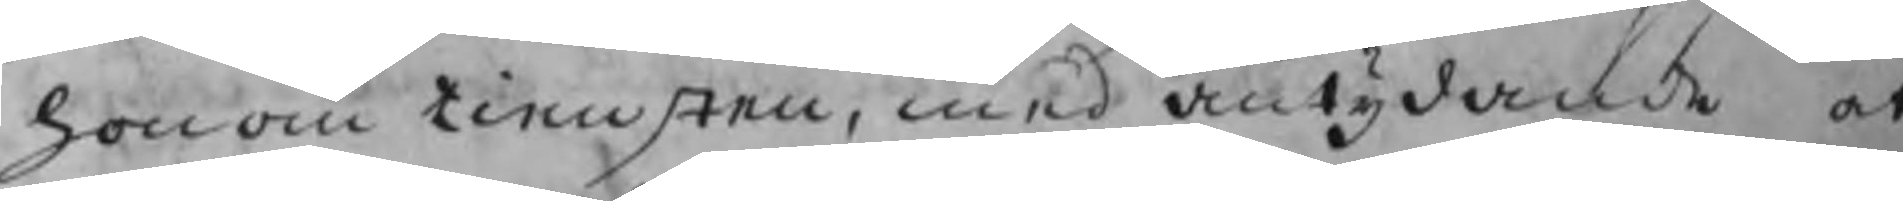honom tiensten, med antydande at
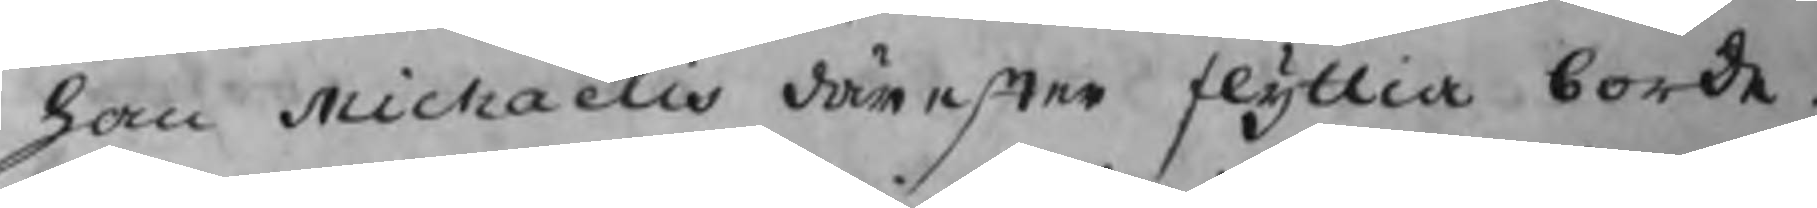han Michaelis därefter flyttia borde.
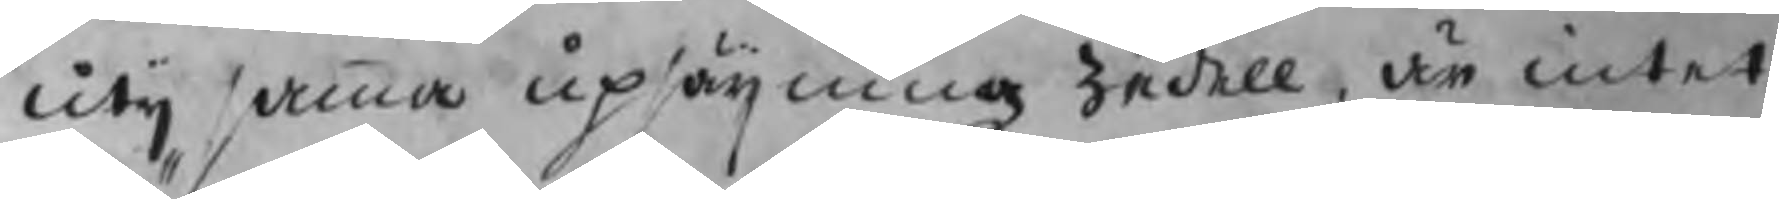Utij samma upsägningz zedell, är intet
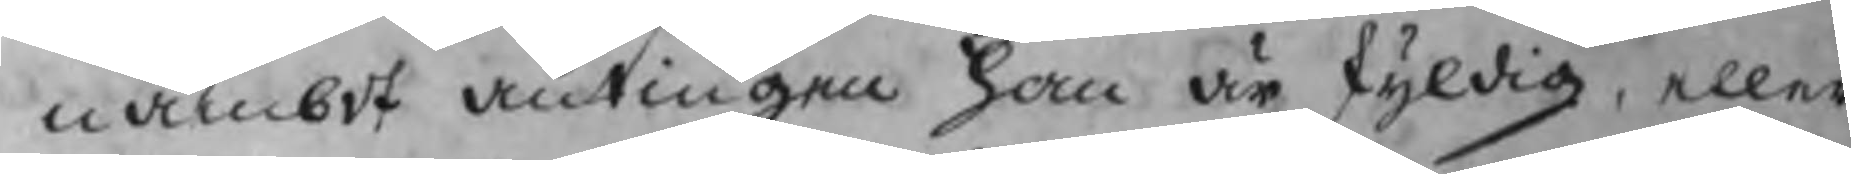nämbdt antingen han är skyldig, eller
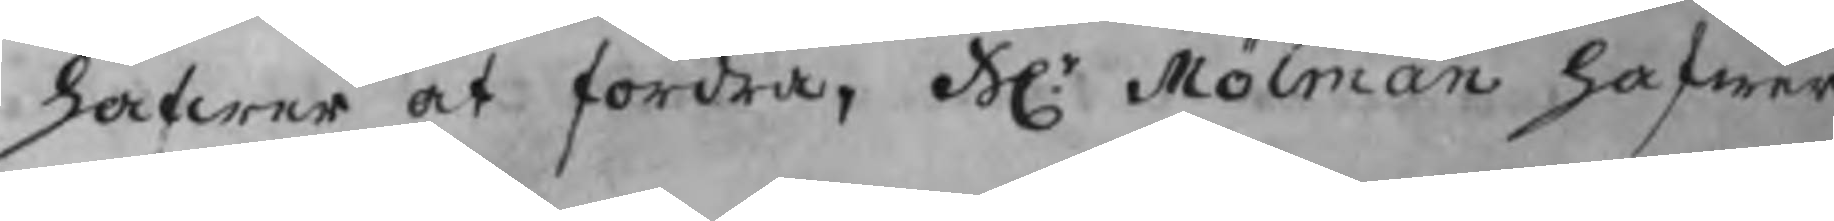hafwer at fordra. Hr. Mölman hafwer
